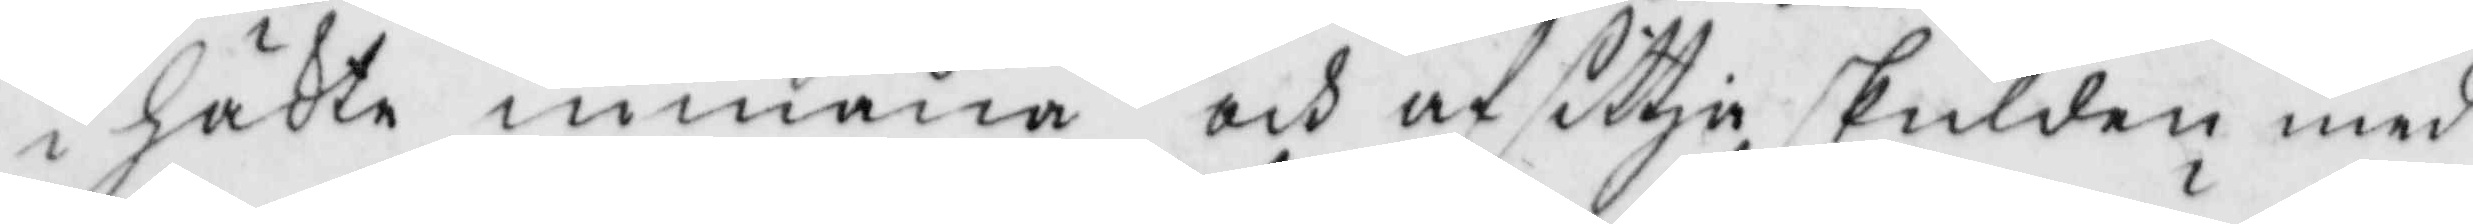i häkte inmana och af sittja skulden med
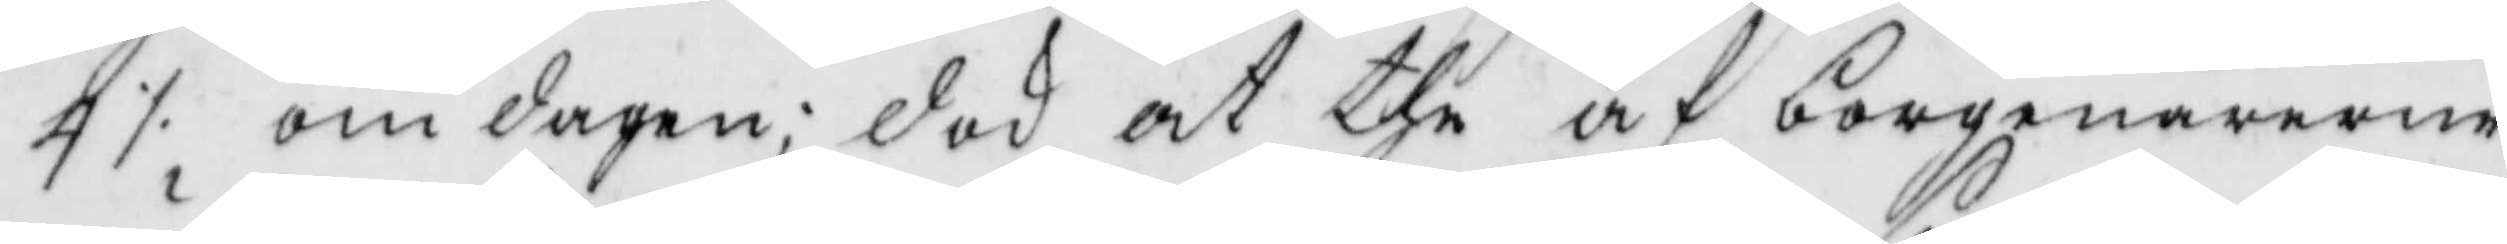4 ./. om dagen; dok at the af borgenärerne
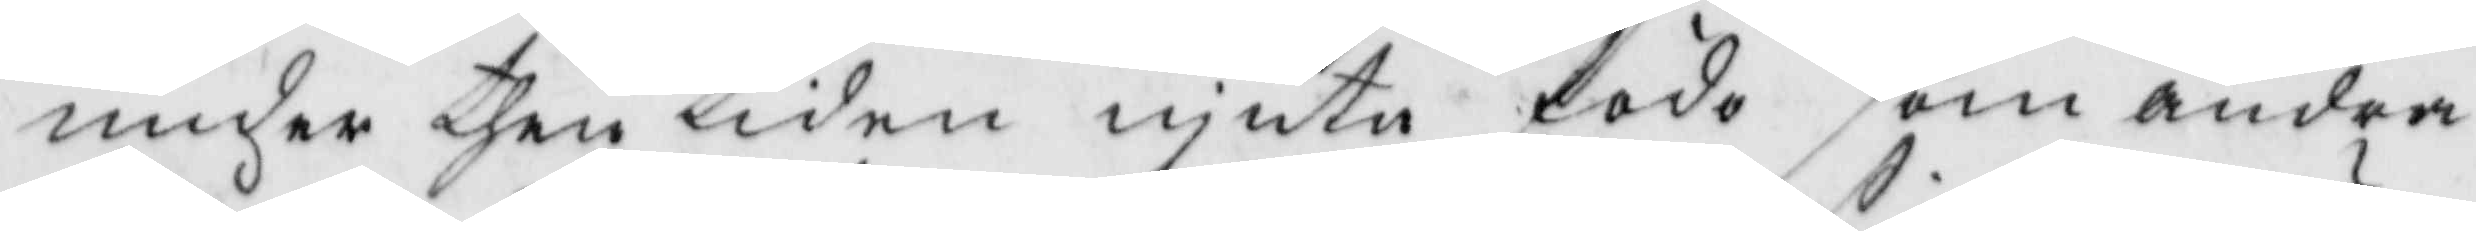under then tiden njuta föda som andra
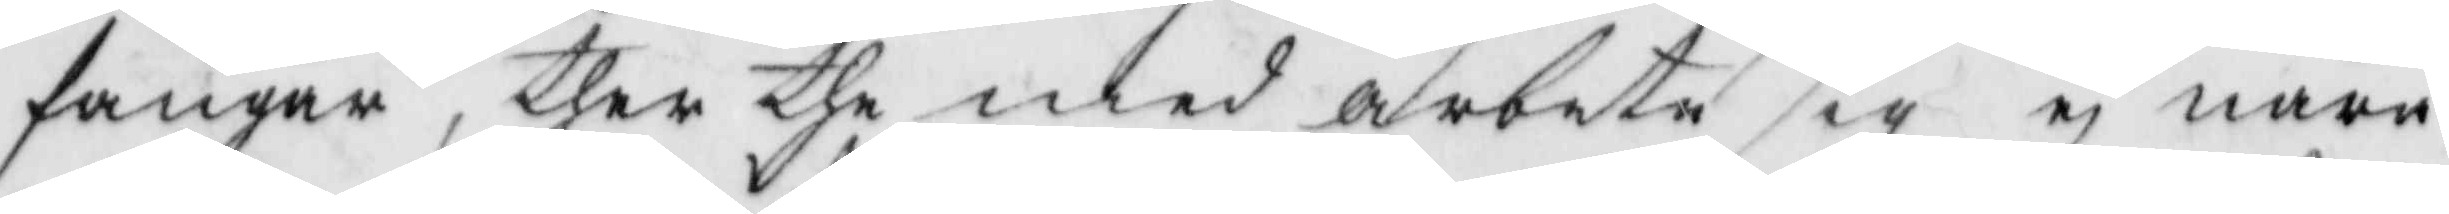fångar, ther the med arbete sig ej nära
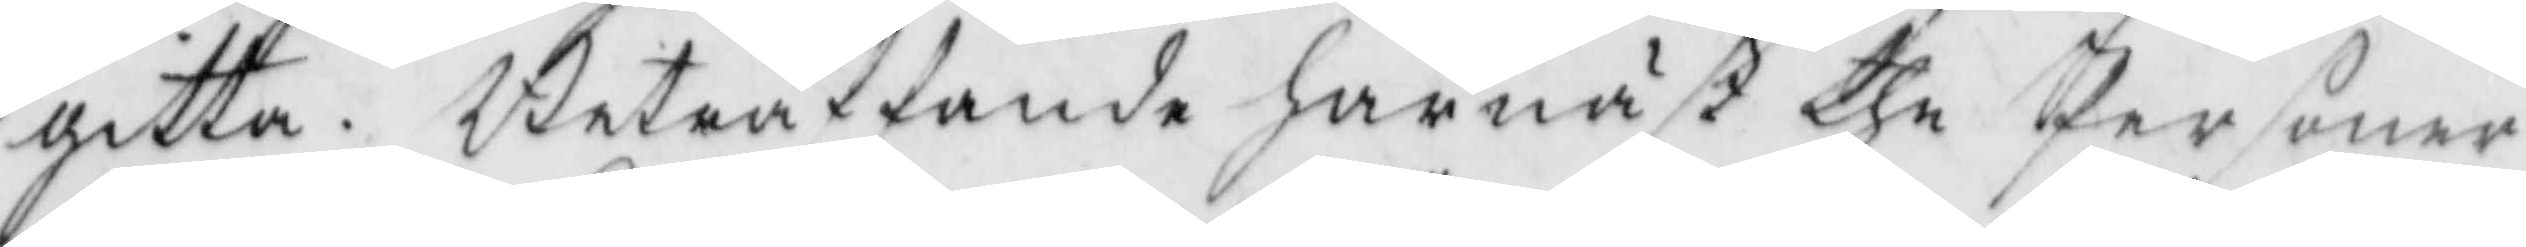gitta. Beträffande härnäst the Personer
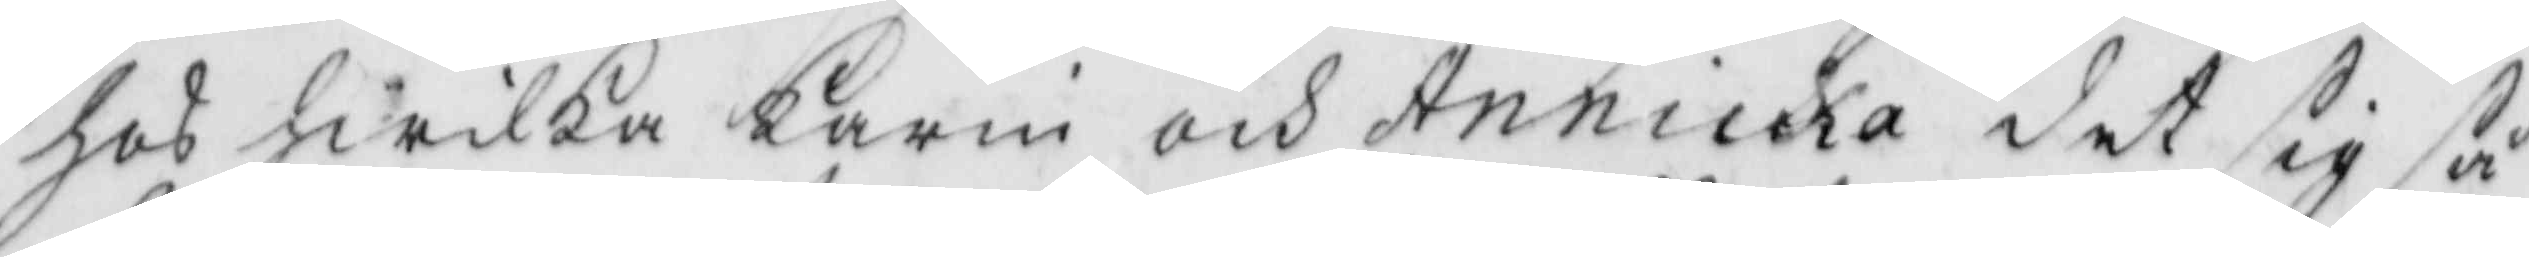hos hwilka Karin och Annika det sig så
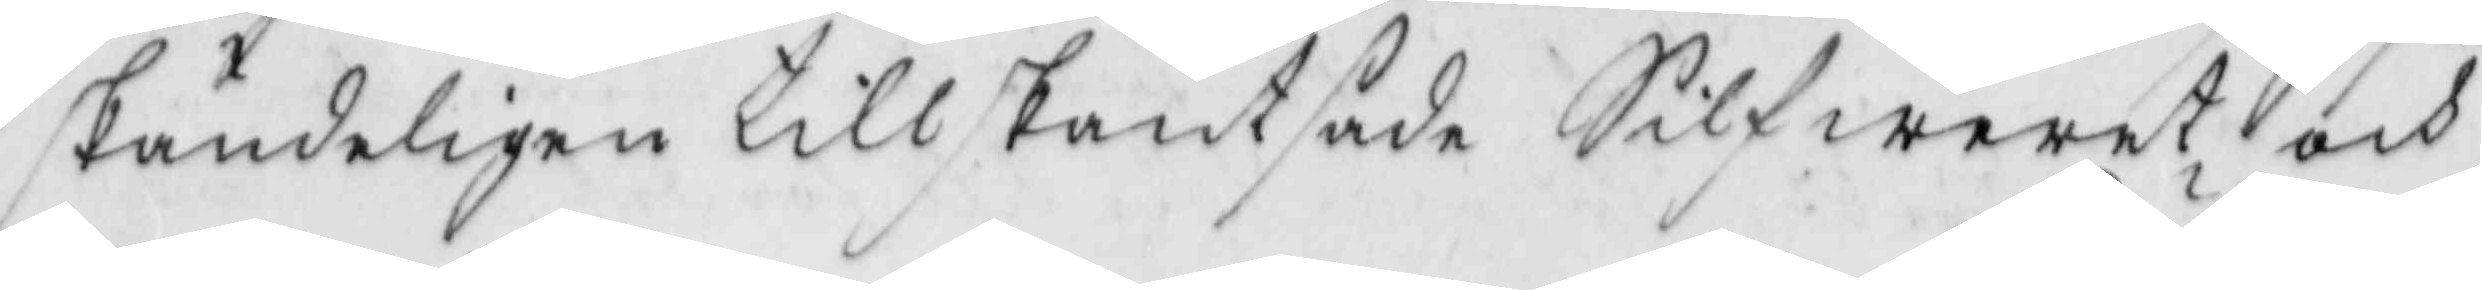skändeligen tillskantsade Silfwerwt och 
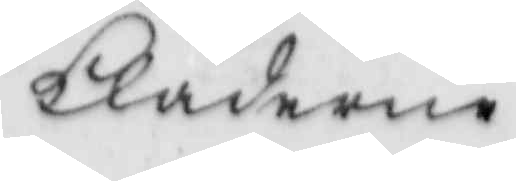kläderne
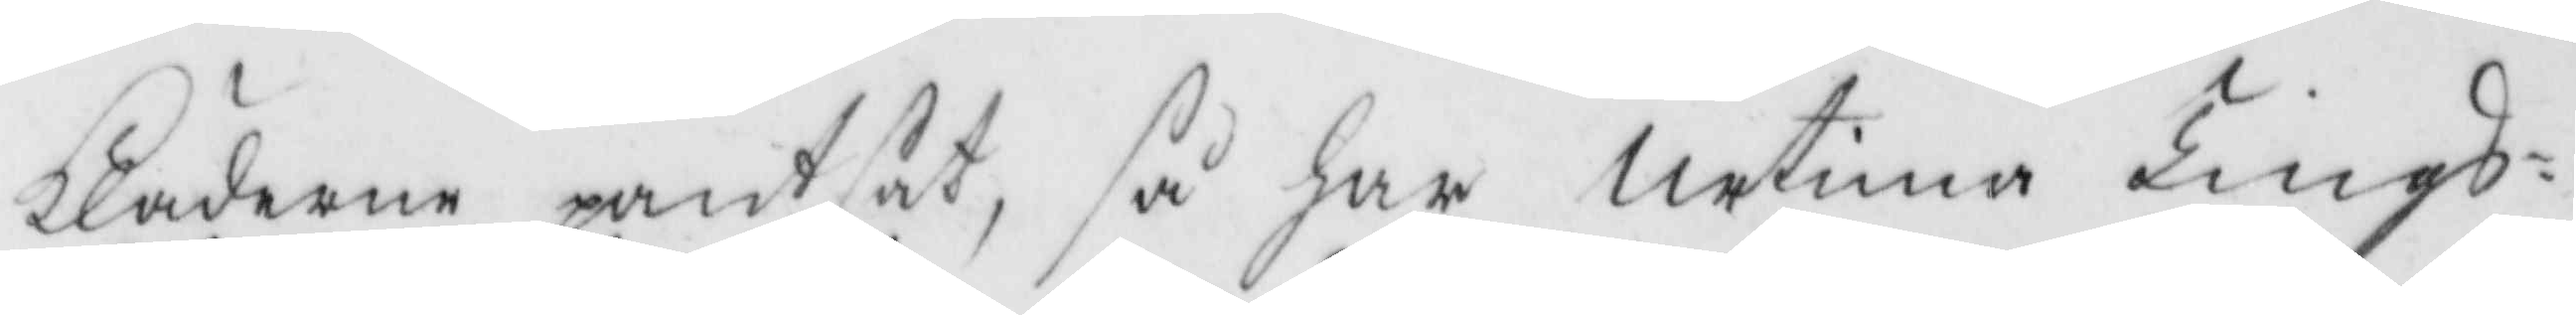kläderne pantsat, så har Urtima Tings¬
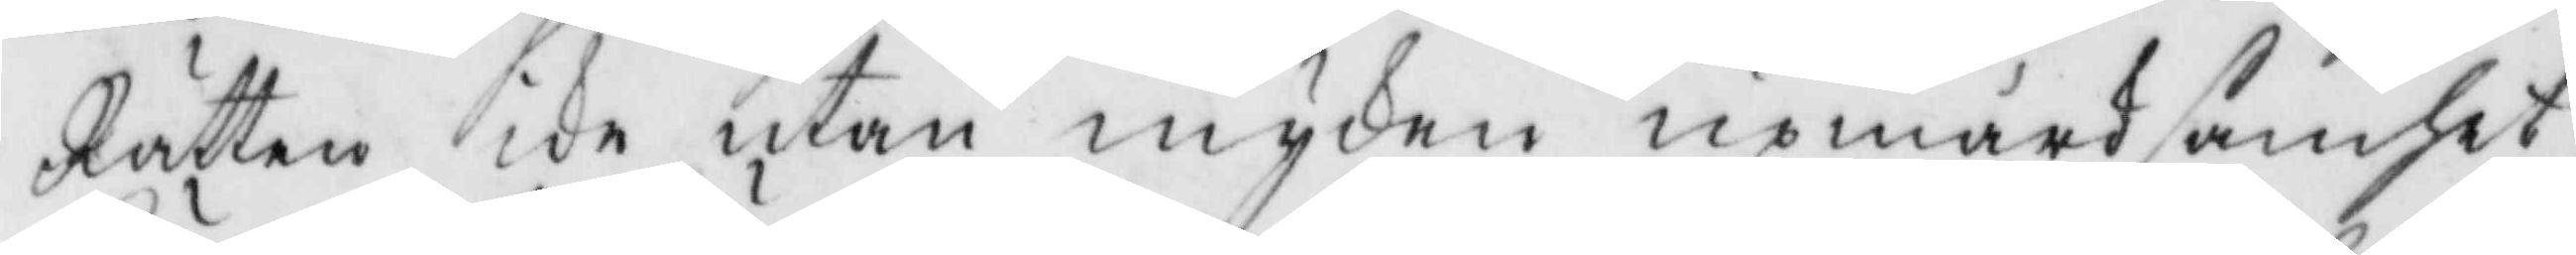Rätten ike utan mycken upmärksamhet
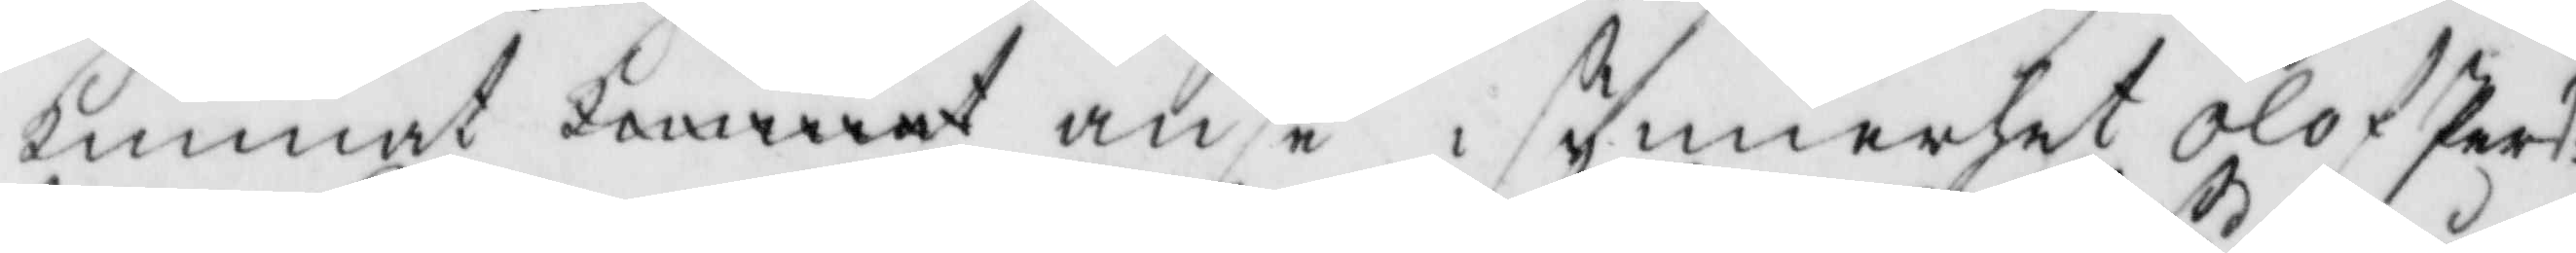kunnat kunnat anse i synnerhet Olof pers¬
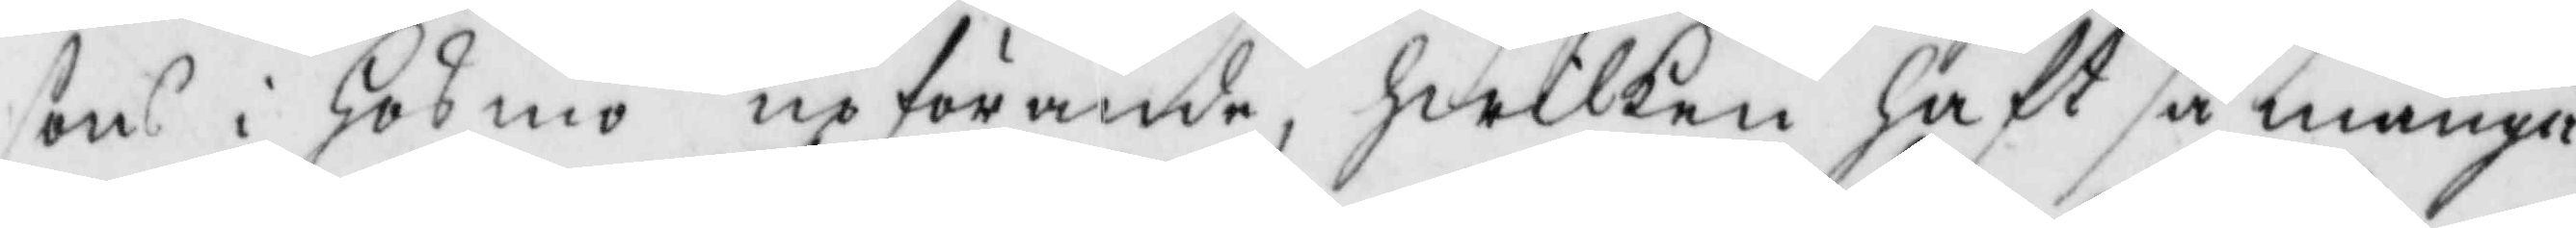sons i Hosmo upförande, hwilken haft så många
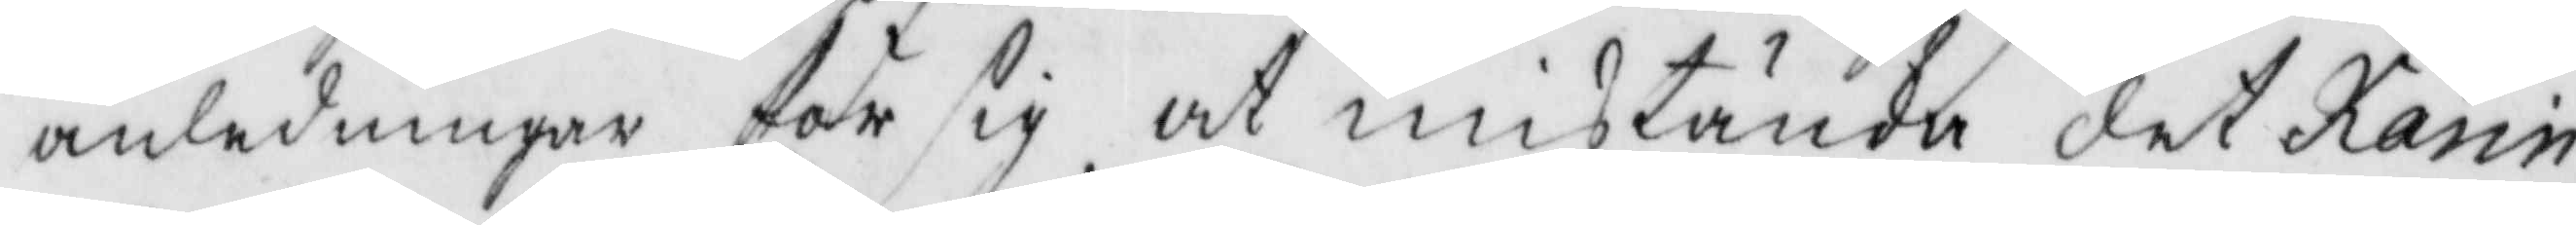anledningar för sig at mistänka det Karin
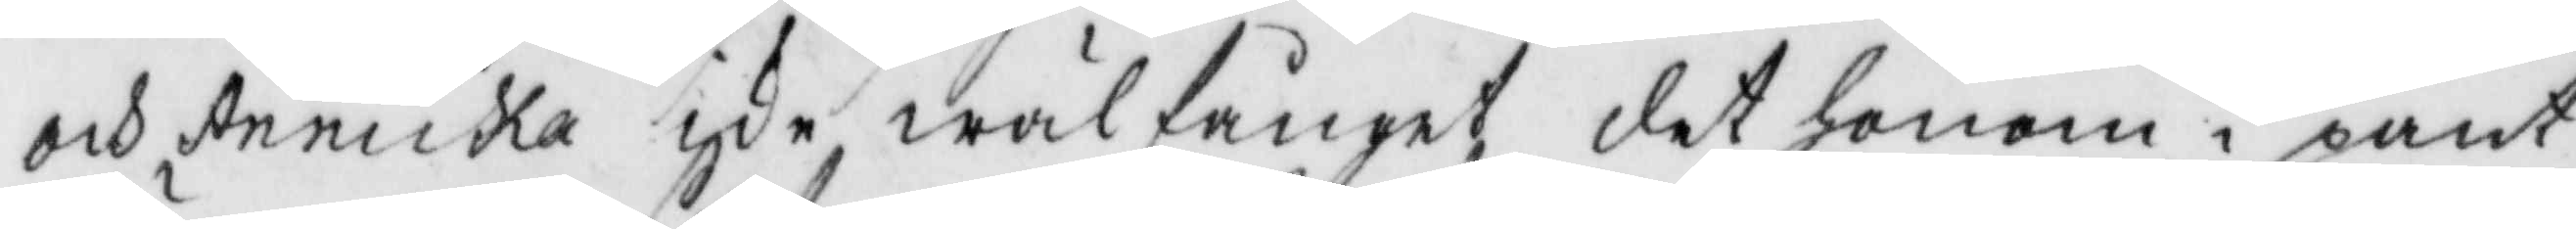och Annika ike wälfånget det honom i pant
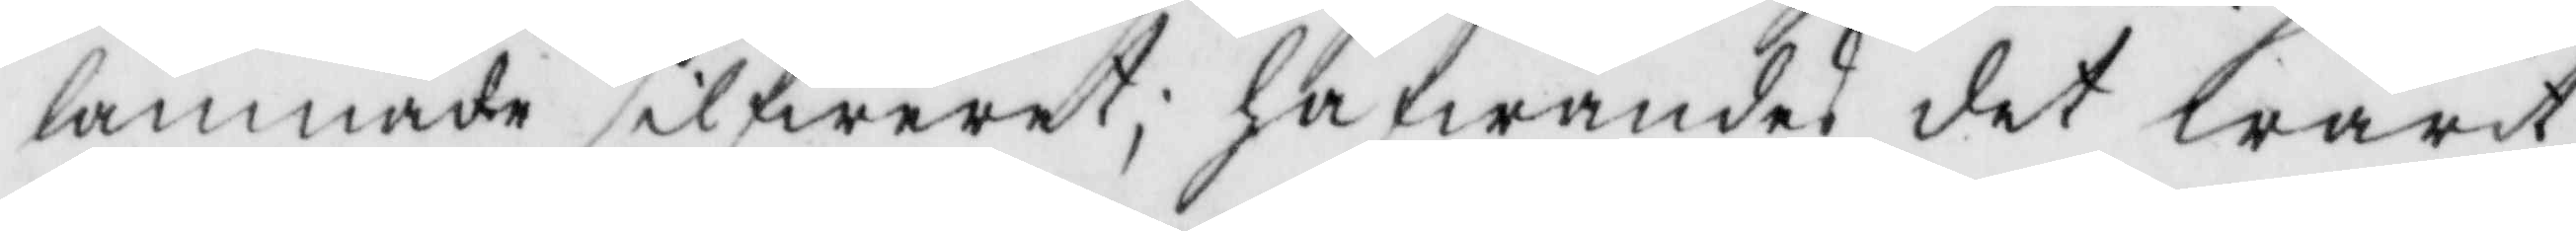lämnade silfwret; hafwandes det warit
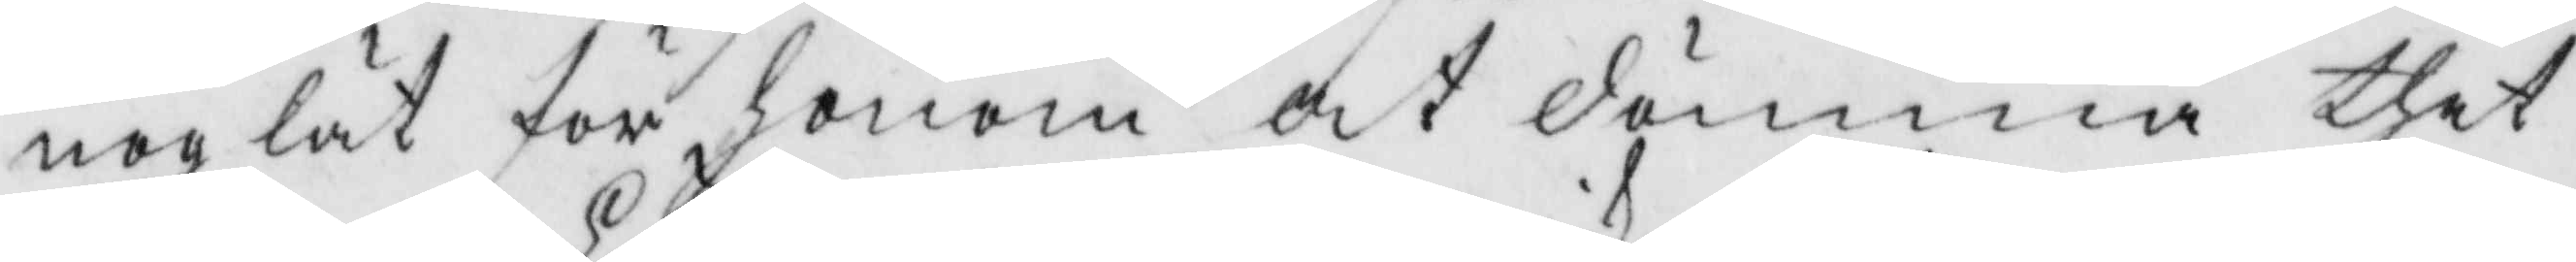nog lät för honom at dömma thet
